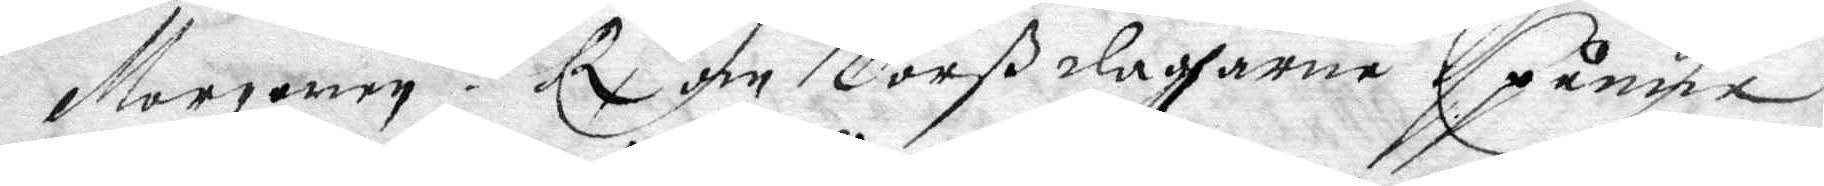Morgonen? Rx om Torßdagarna spånne
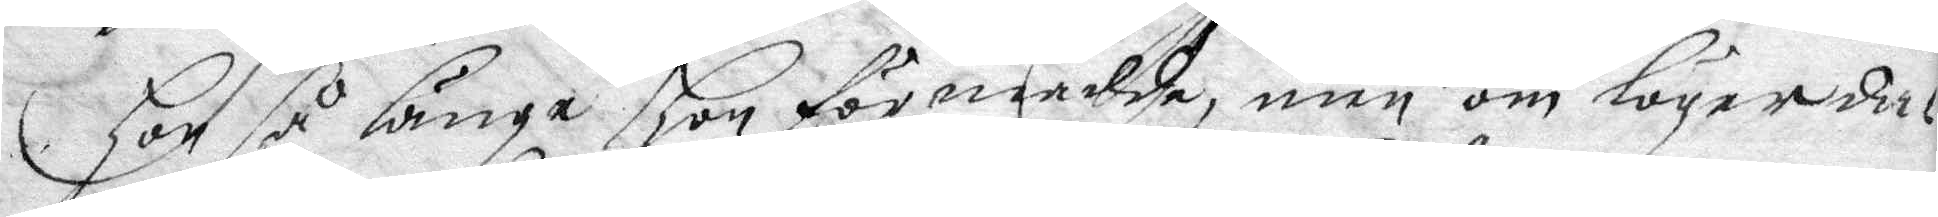hon så länge hon förmådde, men om lögerda¬
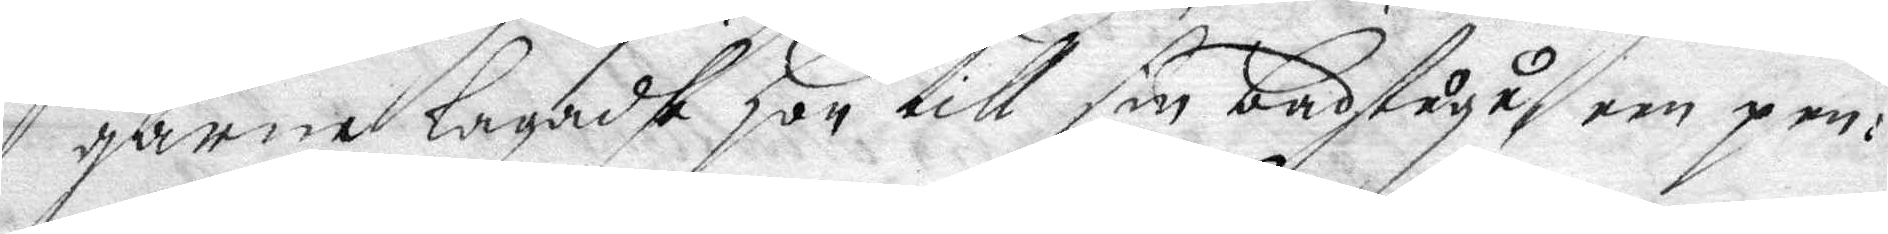garne lagadhe hon till sin bastugu, een pen¬
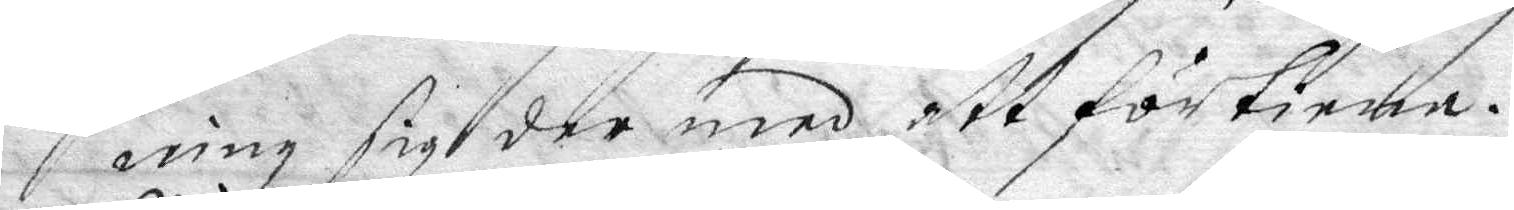ning sig der med att förtiena.
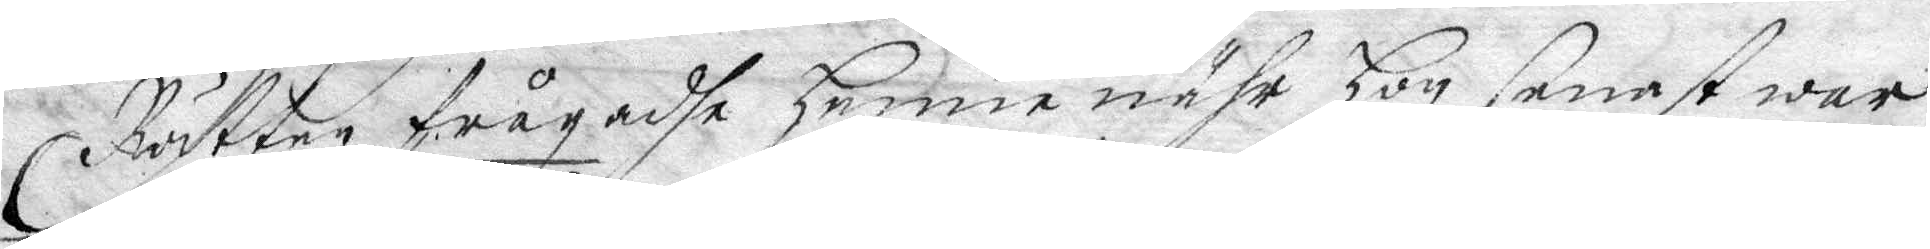Rätten frågadhe henne nähr hon senast war
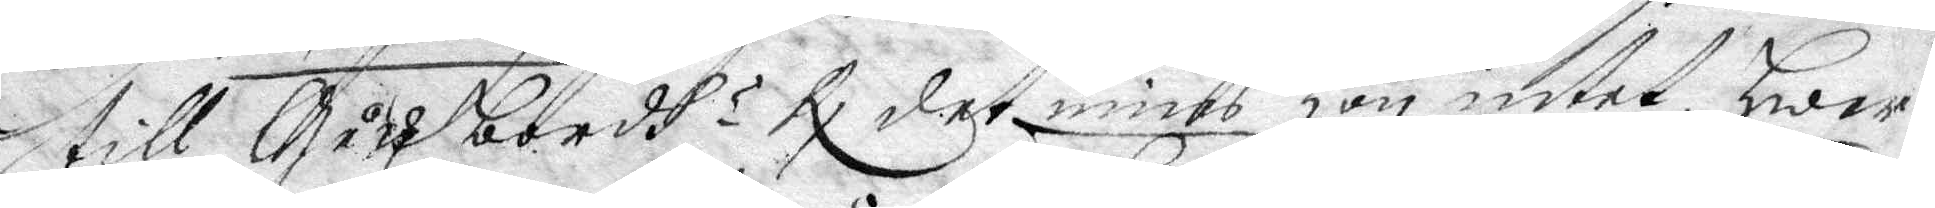till Gästbordh? Rx mins hon intet hwar¬
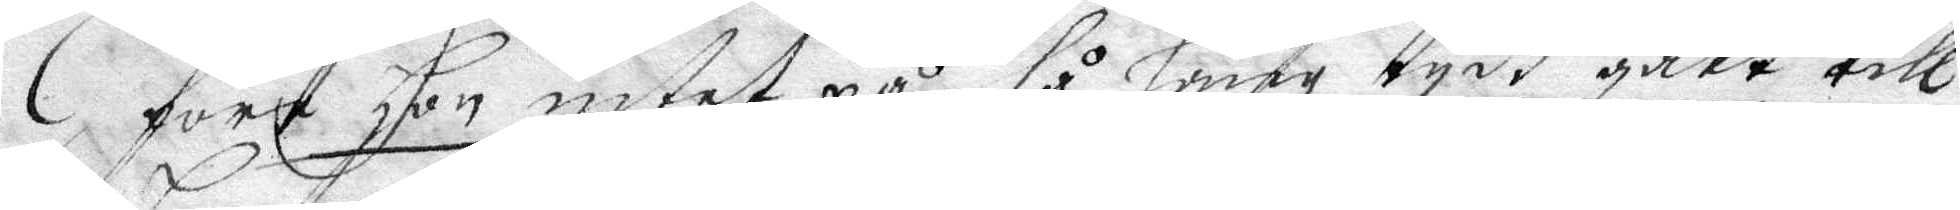före hon intet på så lång tydh gått till
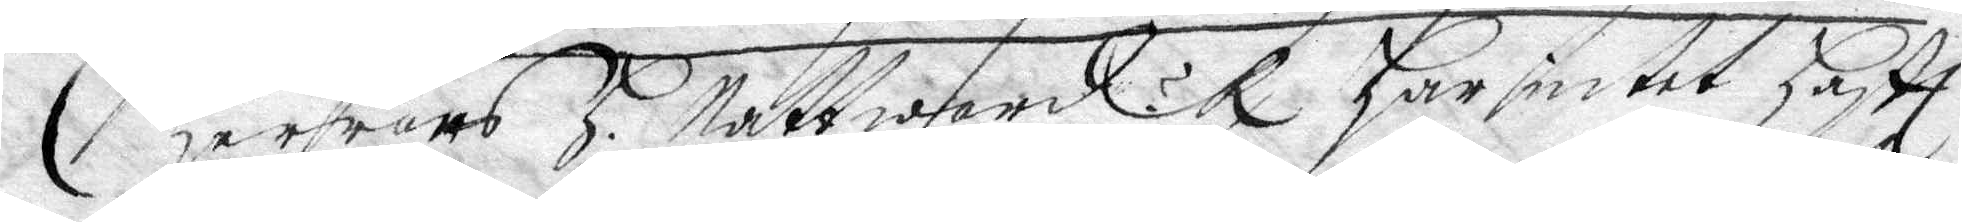Herrans H: Nattward? Rx Har intet haftt
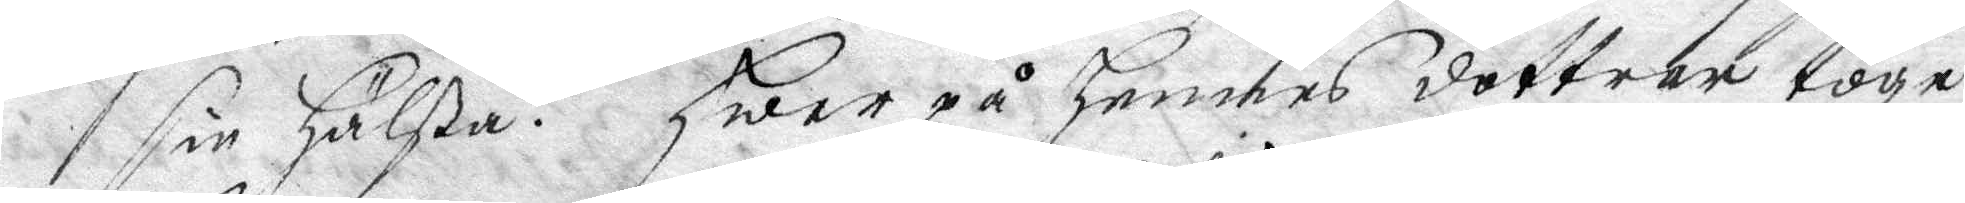sin Hälsa. Hwarpå Hennes dottrer togo
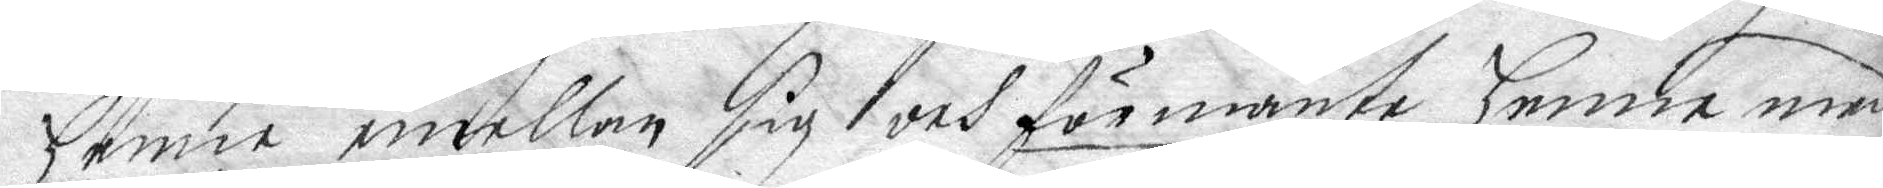henne emellan sig och förmante henne med
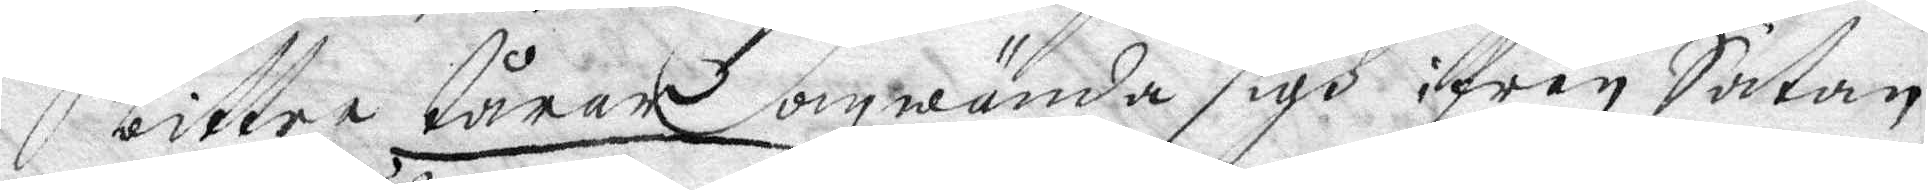bittre tårar omwända sigh ifrån Satan
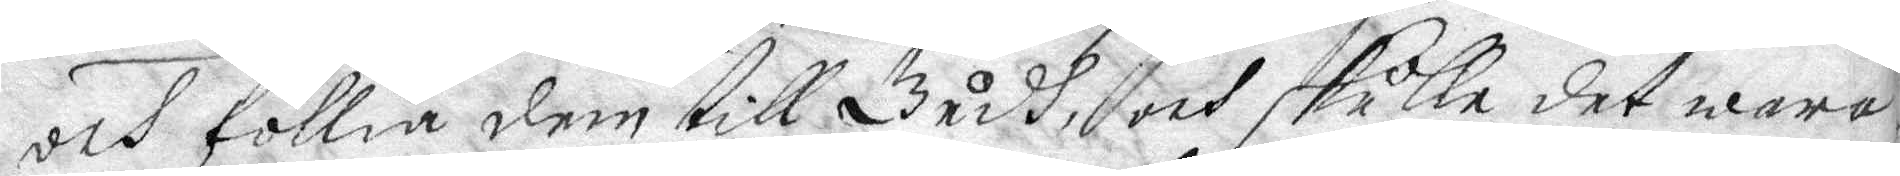och föllia dem till Gudh, och skulle det wara
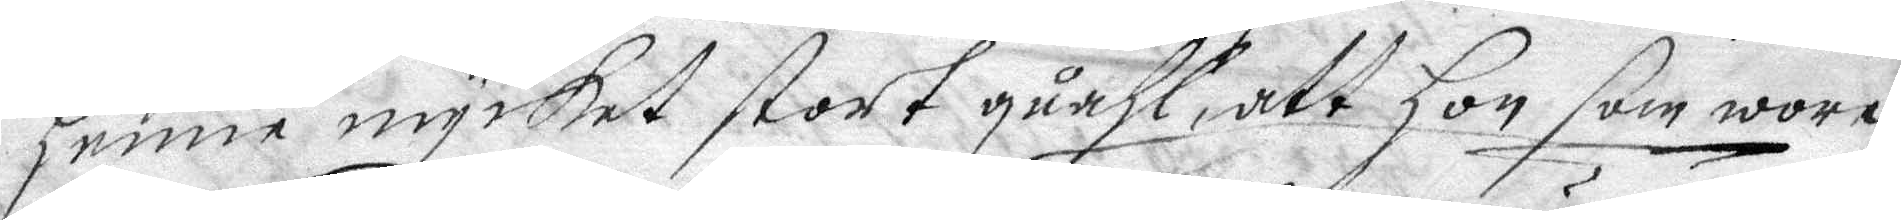henne mycket stort quahl, att hon som wore
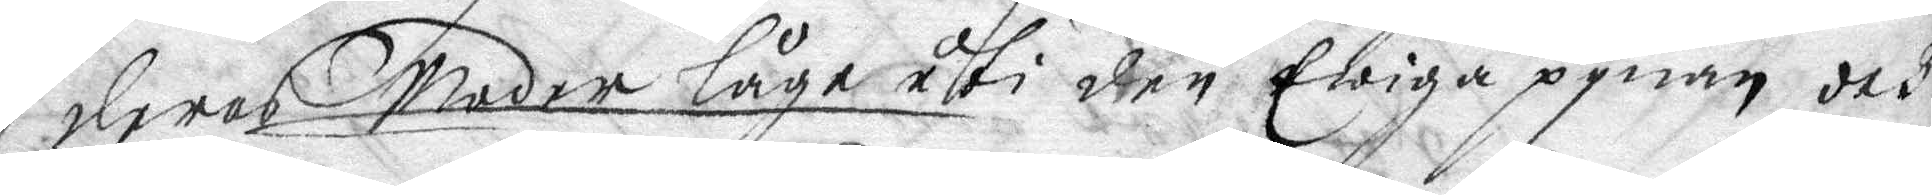deras Moder låge uti den Ewiga pynan och
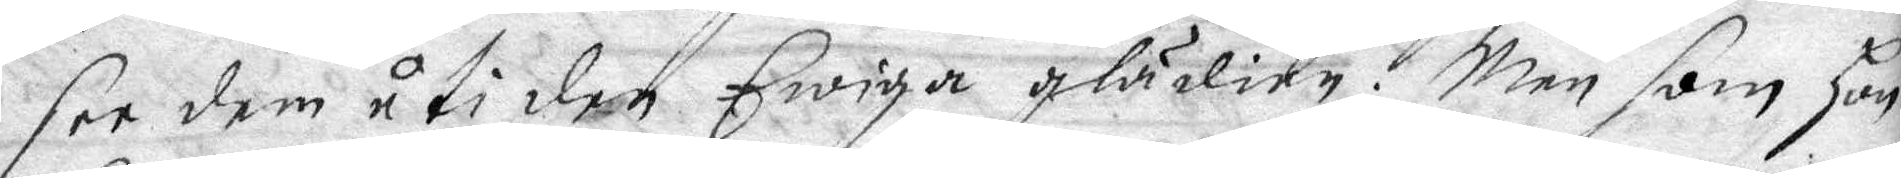see dem uti den Ewiga glädien, Men som hon
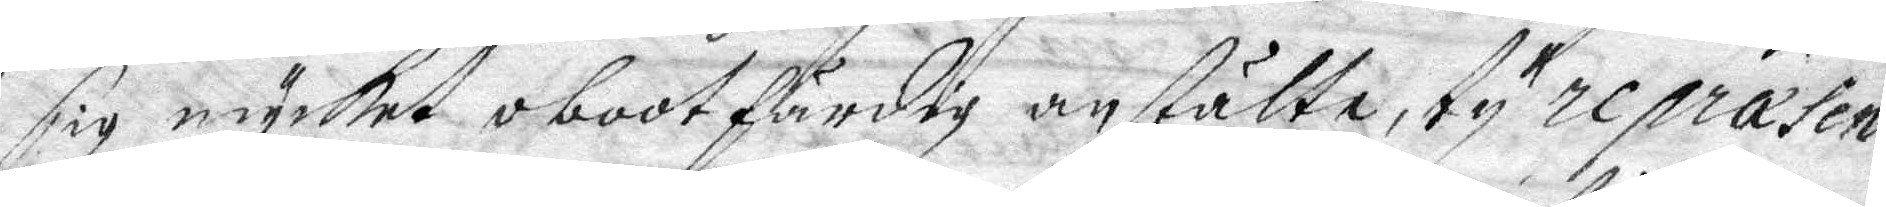sig mycket obotfärdig anstälte, ty repræsen¬
